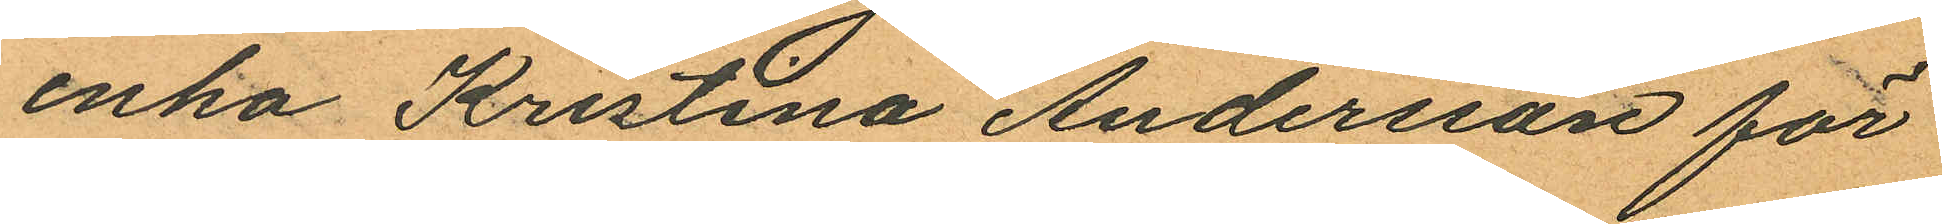enka Kristina Andersson för
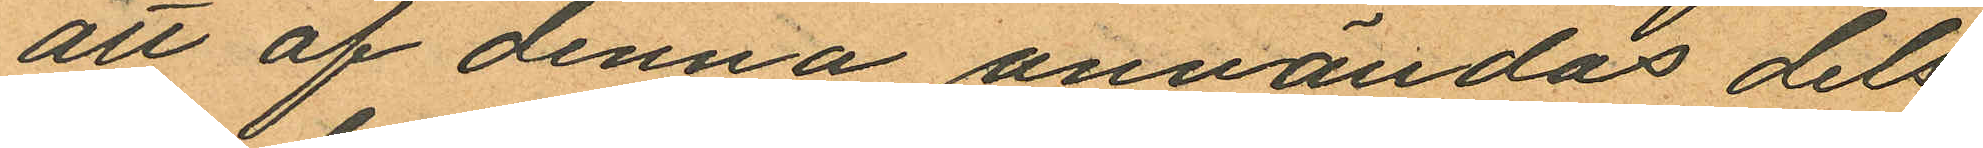att af denna användas dels
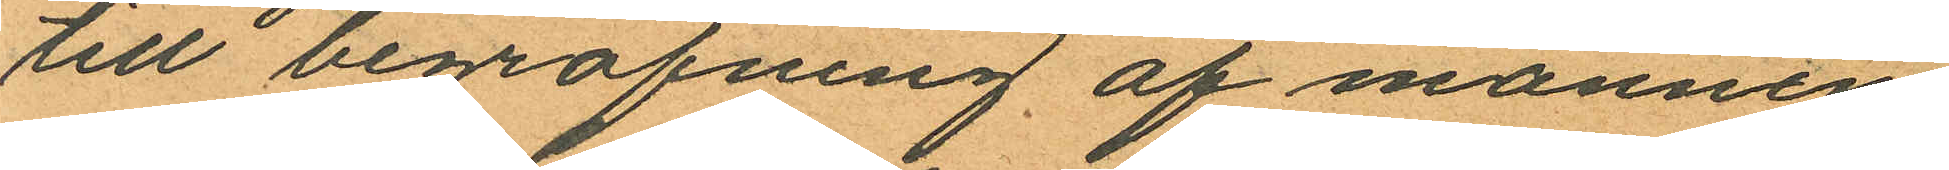till begrafning af mannen
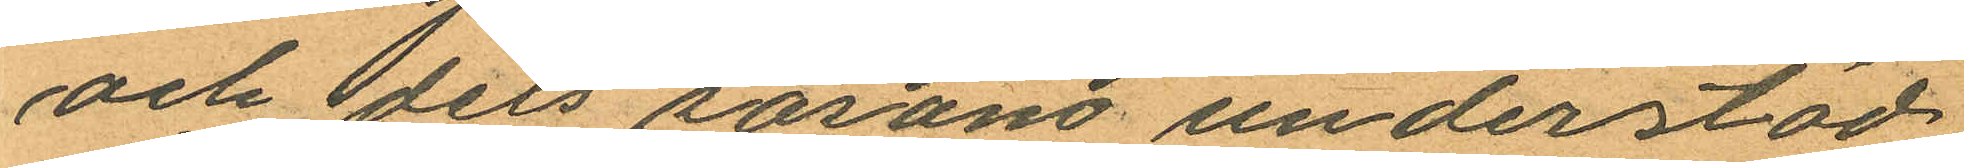och dels sosano understöd
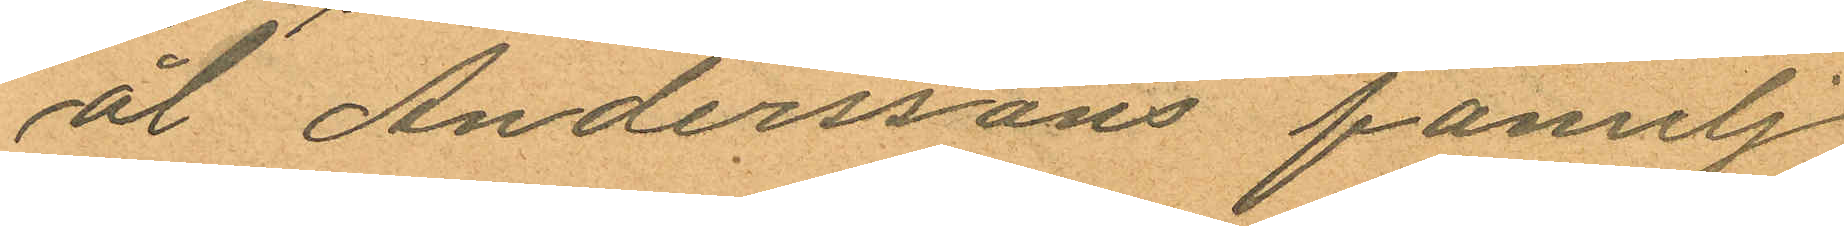ål Anderssons familj
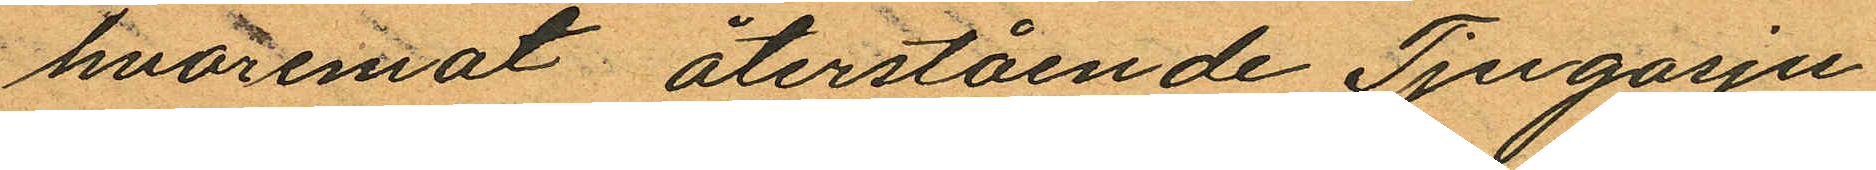hvaremot återstående Tjugosju
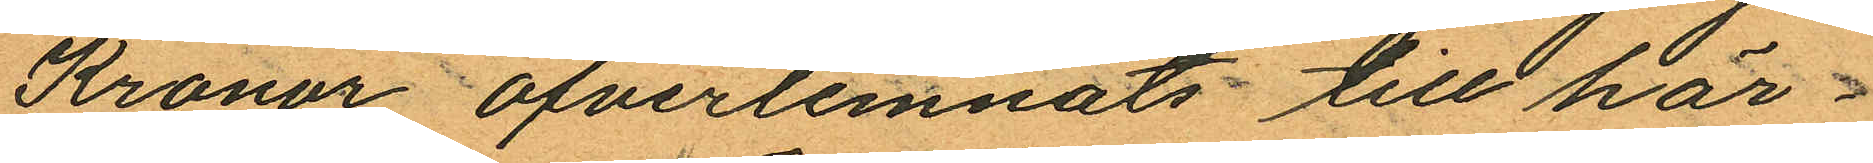Kronor öfverlemnats till här¬
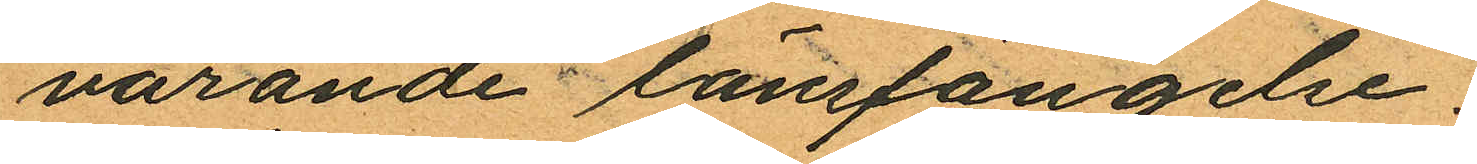varande länsfängelse.
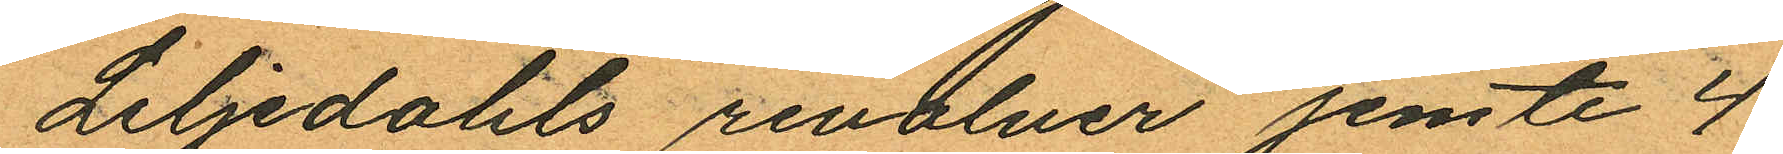Liljedahls revolver jemte 4
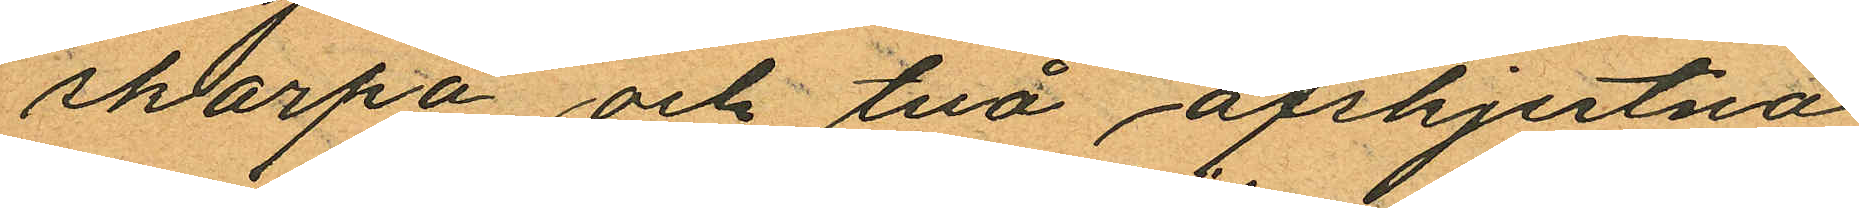skarpa och två afskjutna
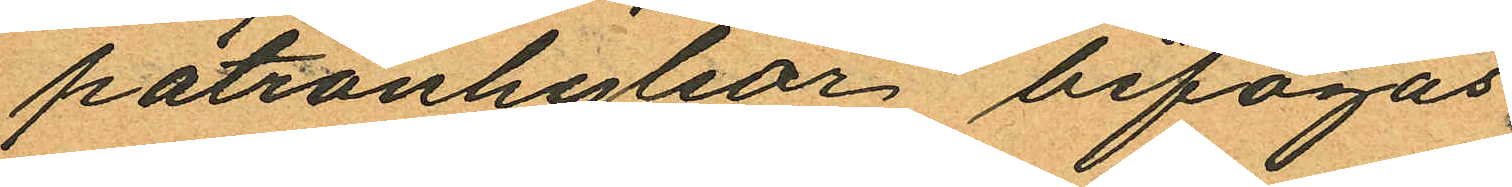patronhyslor bifogas.
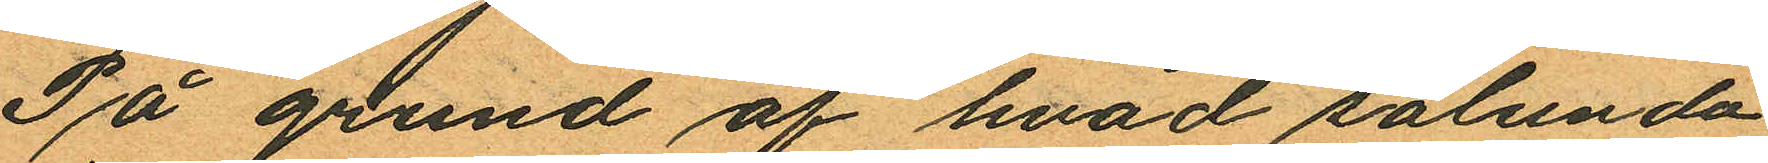På grund af hvad sålunda
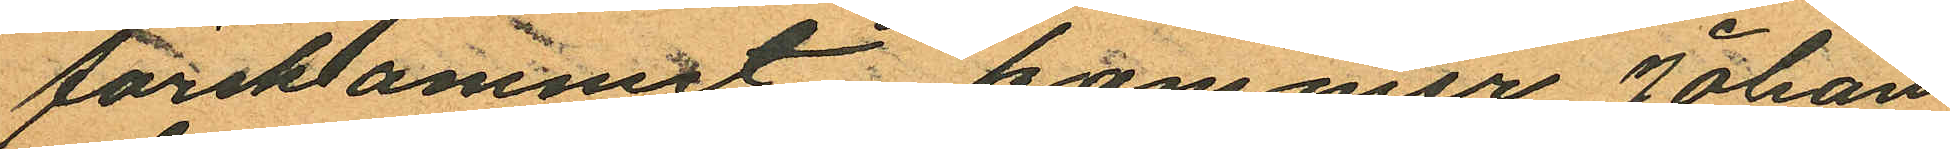förekommit kommer Johan
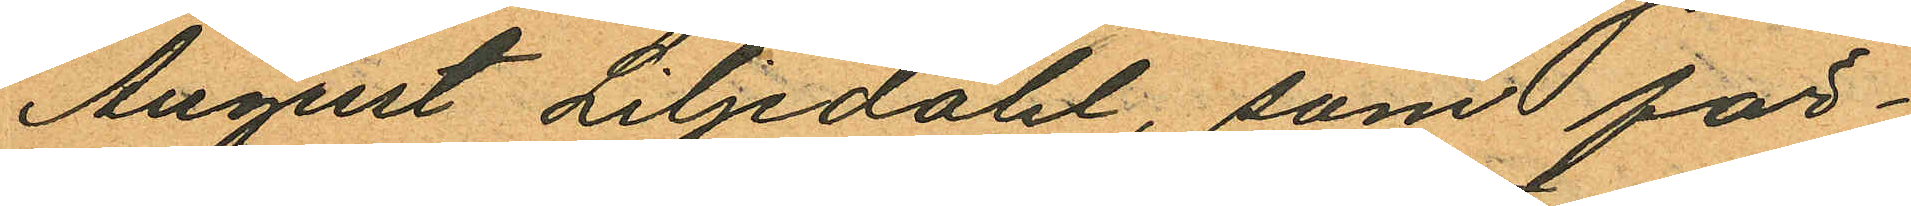August Liljedahl, som för¬
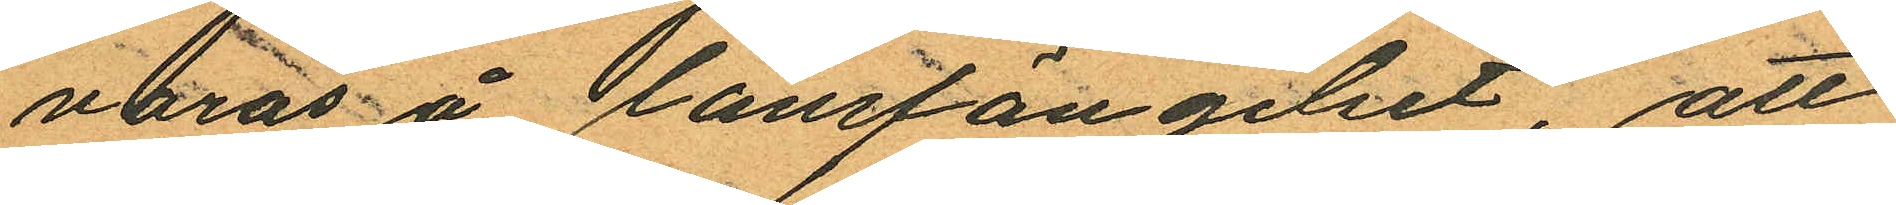varas å länsfängelset, att
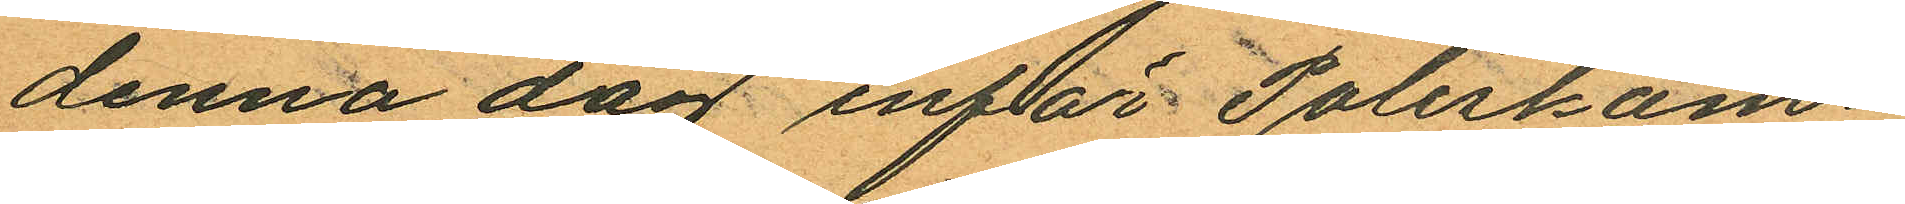denna dag inför Poliskam¬
